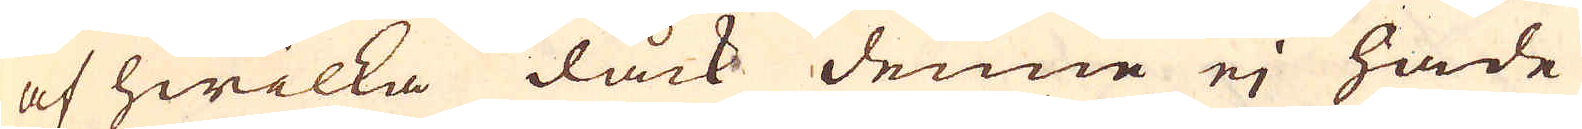af hwilka dåck denne ej hade
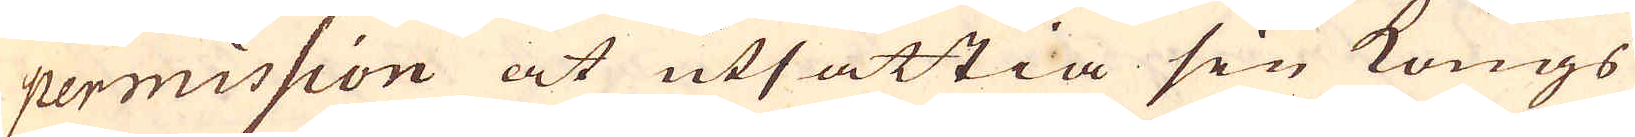permission at utsättia sin kongs
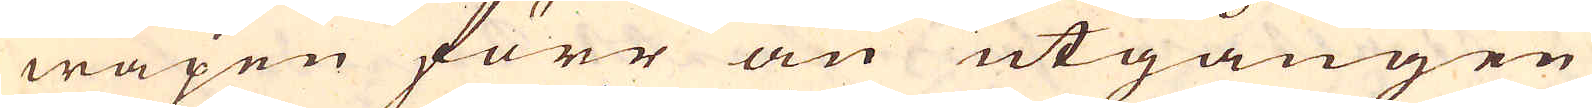wapen förr än utgången
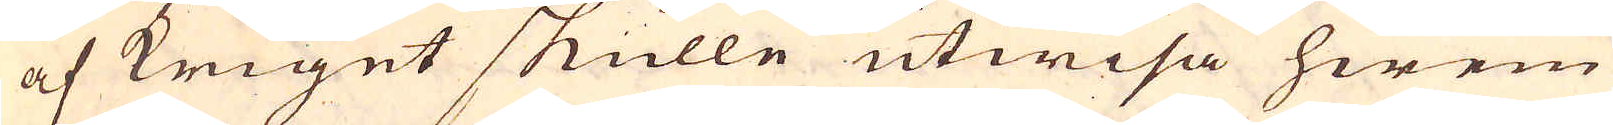af kriget skulle utwisa hwem
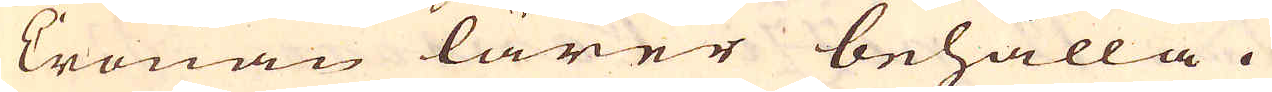Cronan lärer behålla.
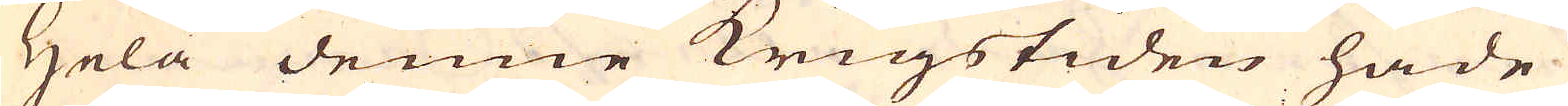Hela denne krigstiden hade
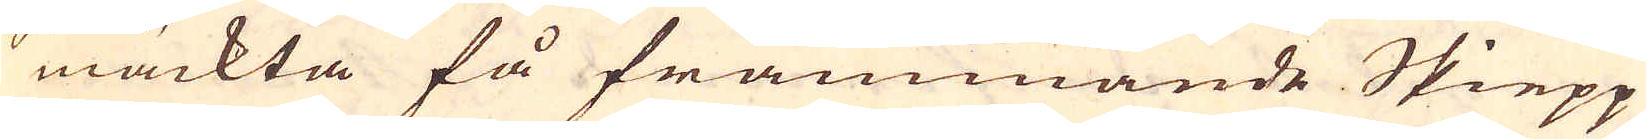mäckta få främmande Skiepp
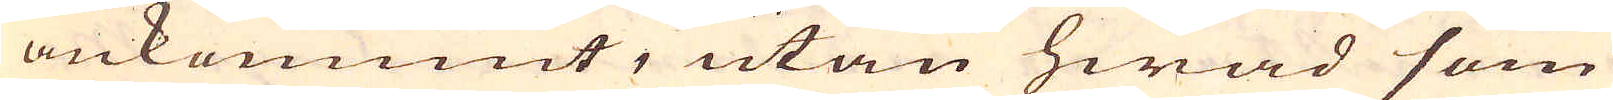ankommit, utan hwad som
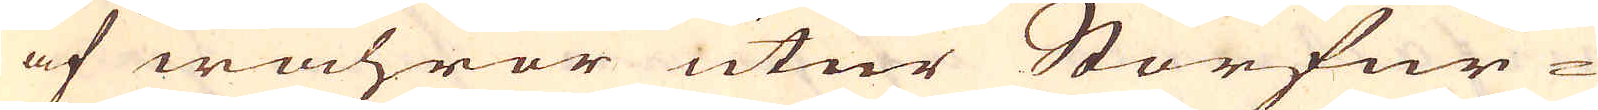af wahror utur Storfur-
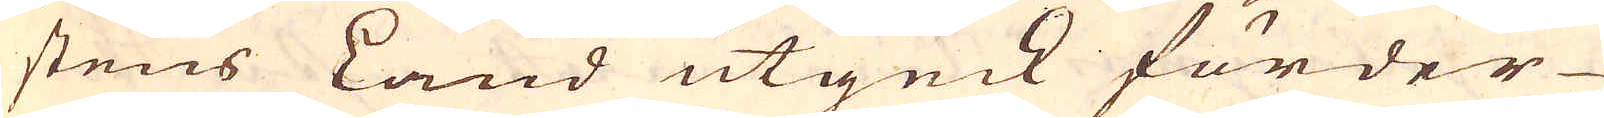stens Land utgick förder
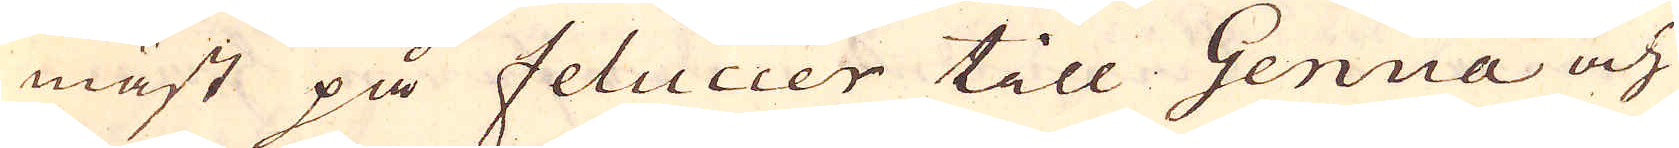mäst på feluccer till Genua och
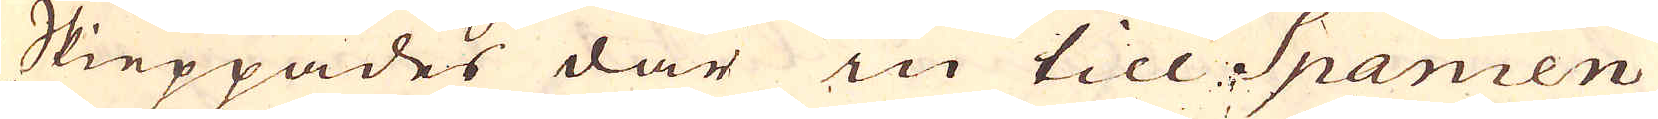Skieppades där in till Spanien
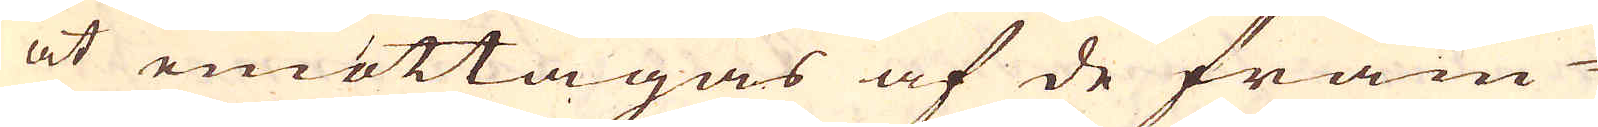at emottagas af de främ-
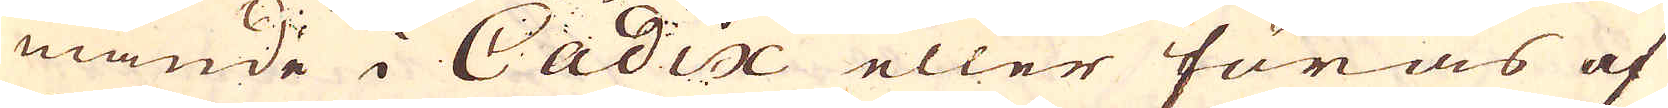mande i Cadix eller föras af
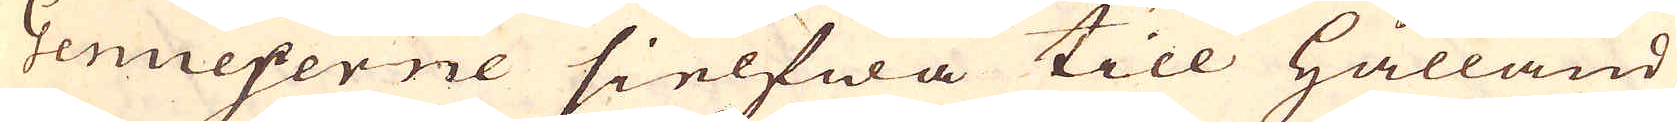Genueserne sielfwa till Hålland
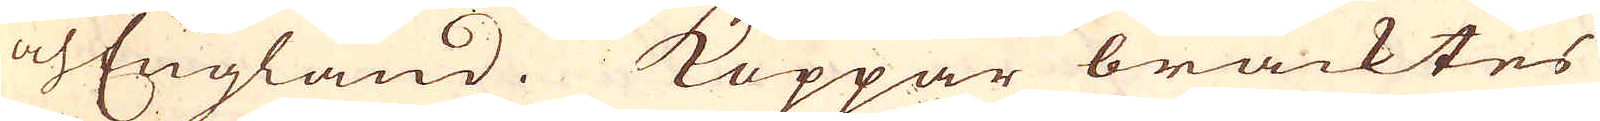och England. Koppar bracktes
